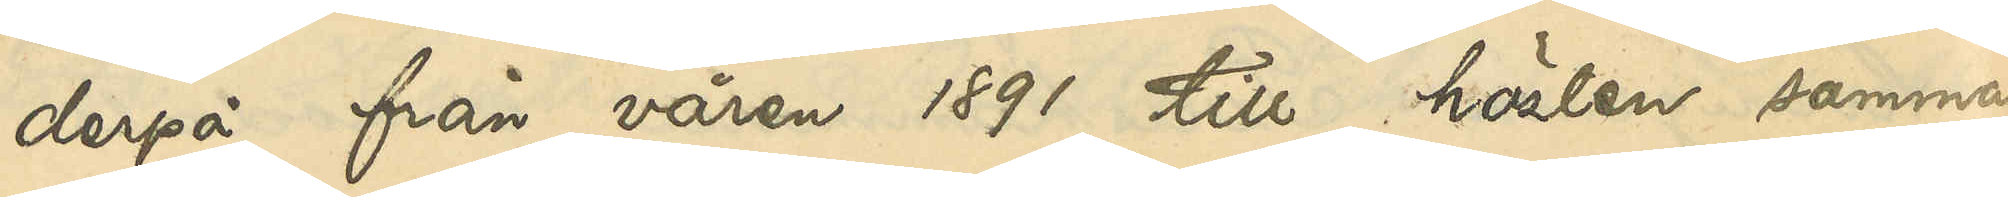derpå från våren 1891 till hösten samma
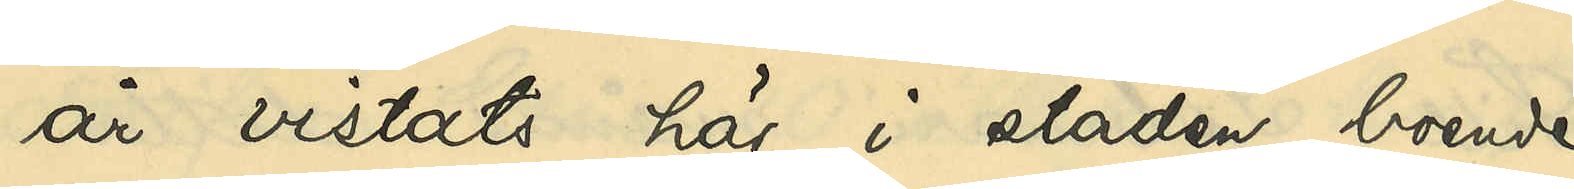år vistats här i staden, boende
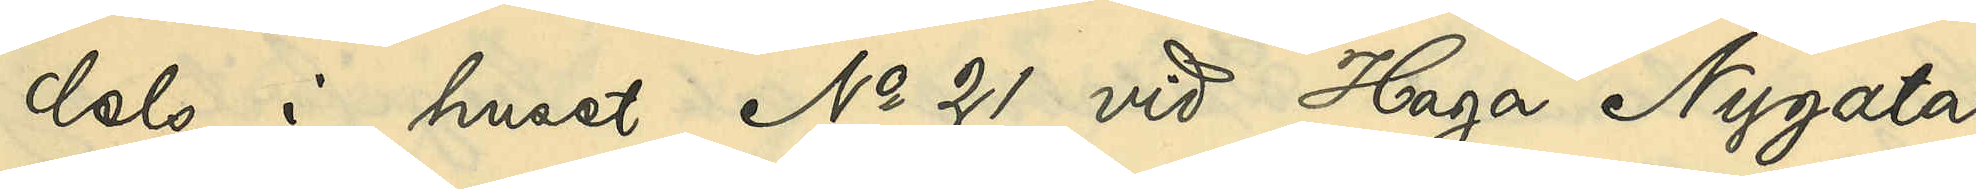dels i huset No 21 vid Haga Nygata
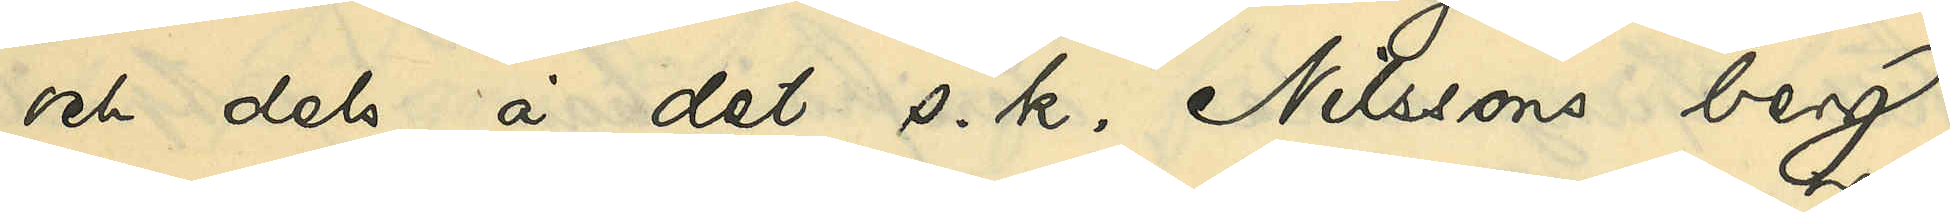och dels å det s. k. Nilssons berg;
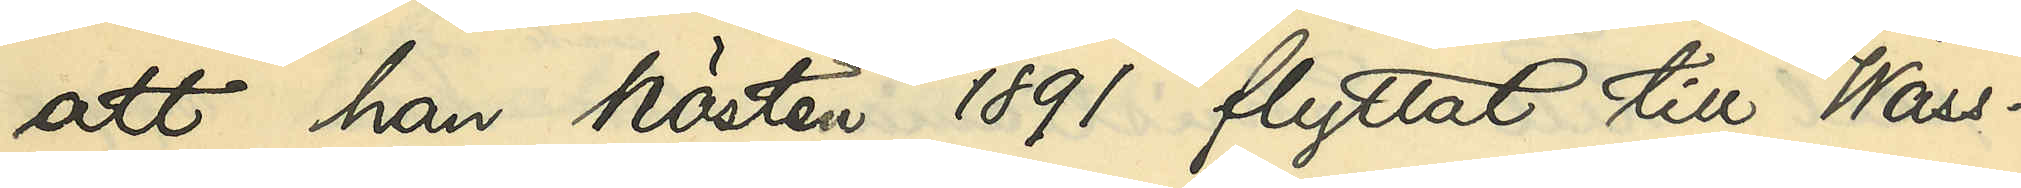att han hösten 1891 flyttat till Wass¬
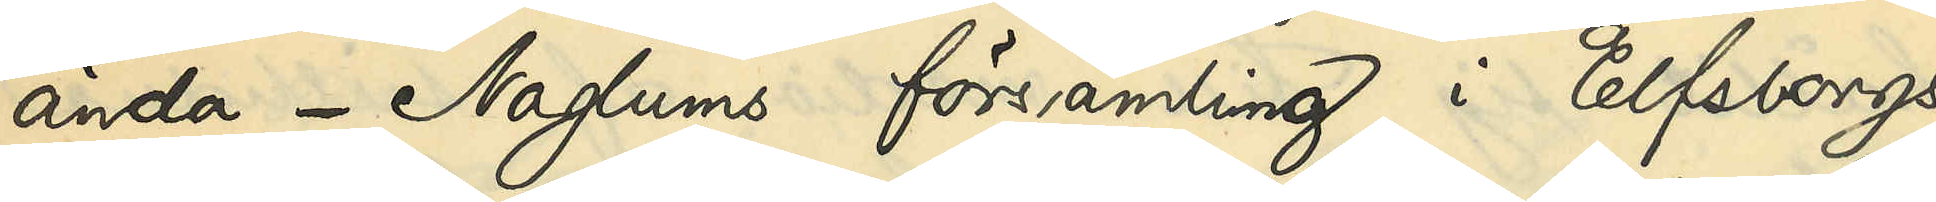ända - Naglums församling i Elfsborgs
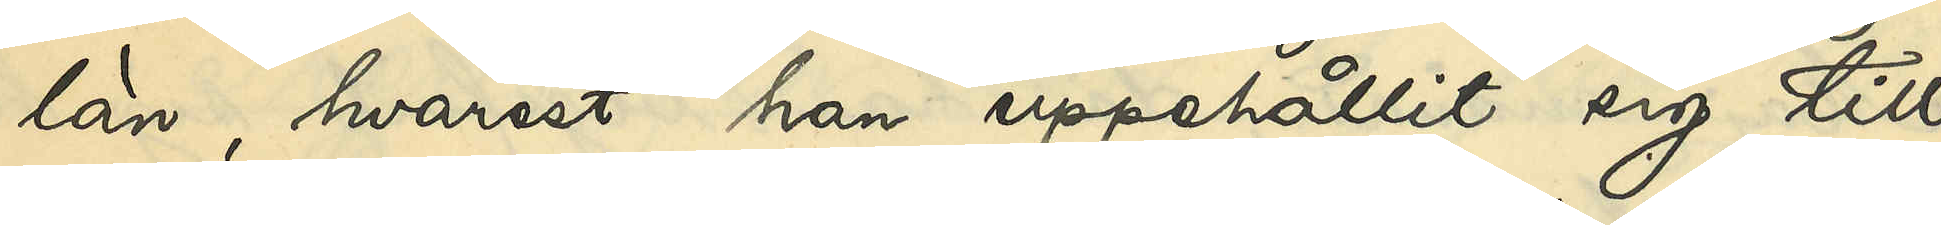län, hvarest han uppehållit sig till
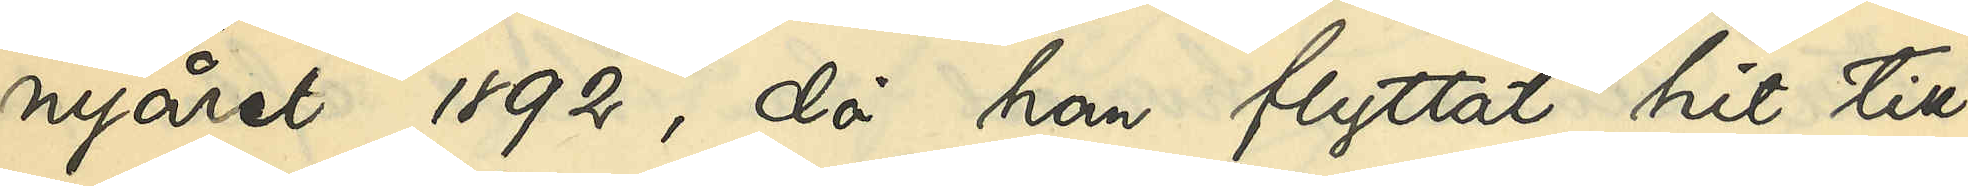nyåret 1892, då han flyttat hit till 
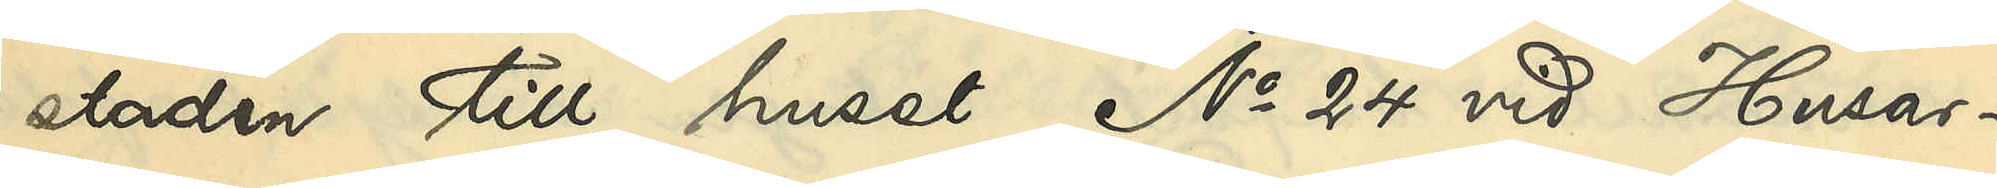staden till huset No 24 vid Husar¬
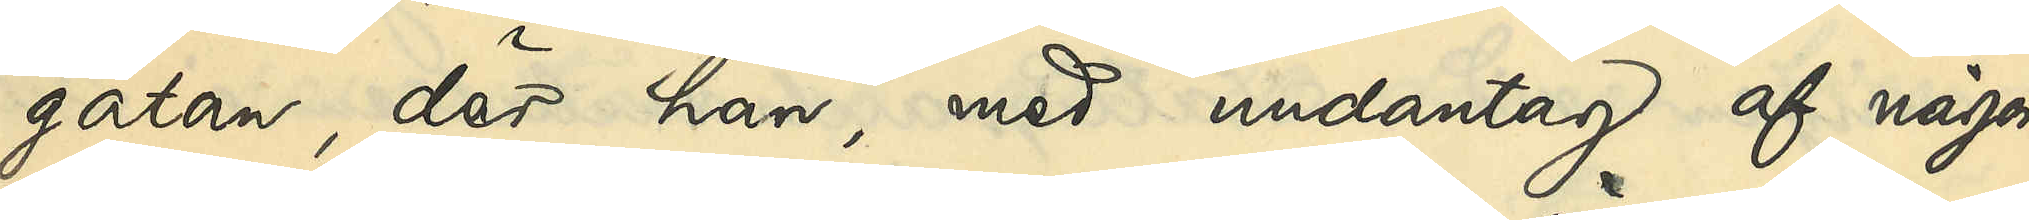gatan, där han, med undantag af någon
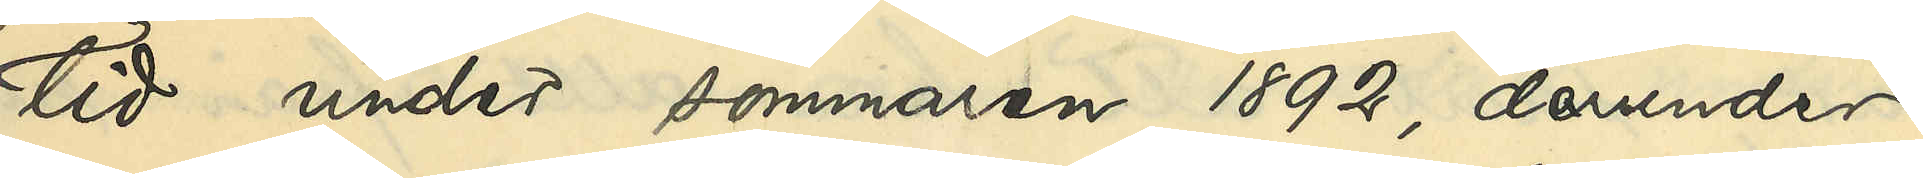tid under sommaren 1892, derunder
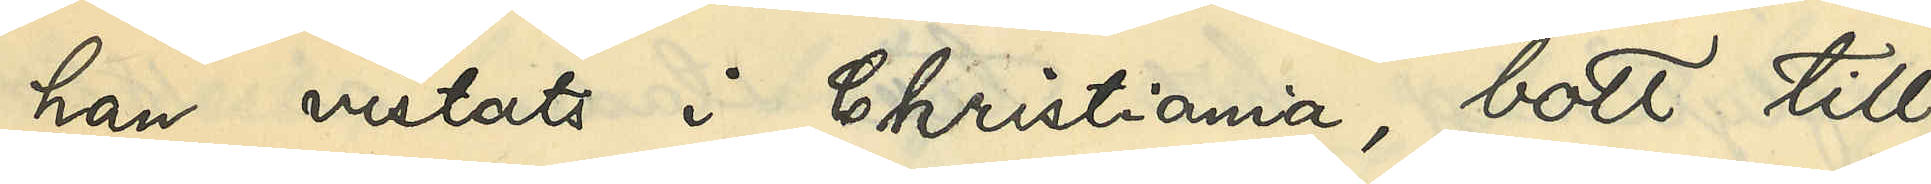han vistats i Christiania, bott till
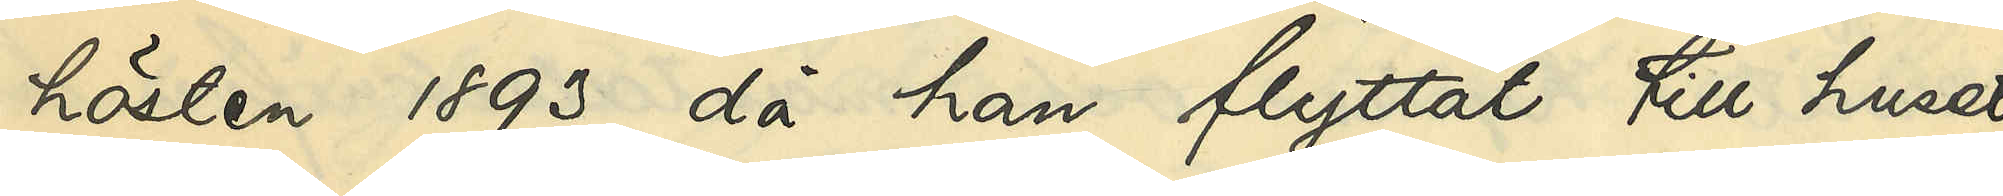hösten 1893, då han flyttat till huset
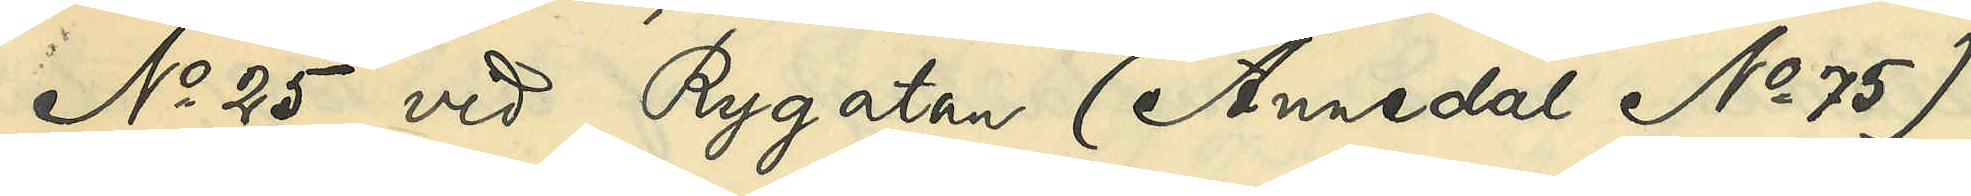No 25 vid Rygatan (Annedal No 75),
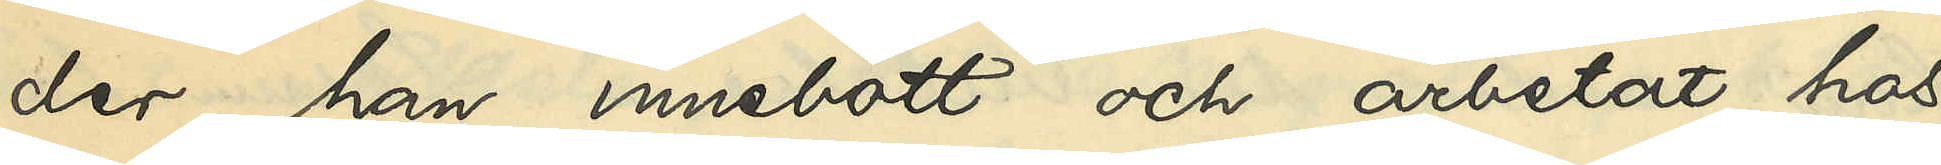der han innebott och arbetat hos
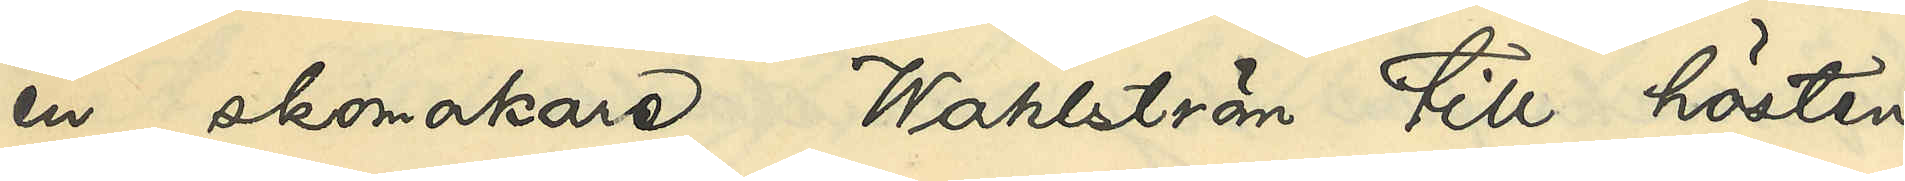en skomakare Wahlström till hösten
